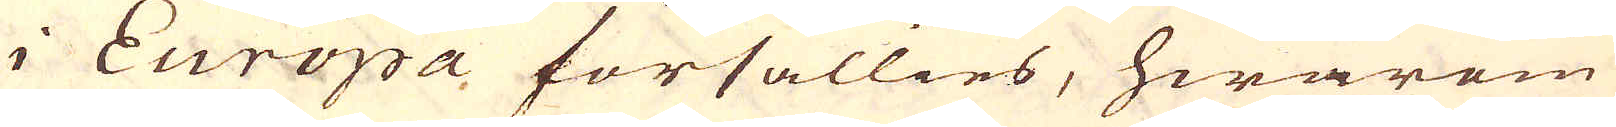i Europa försällies, hwarom
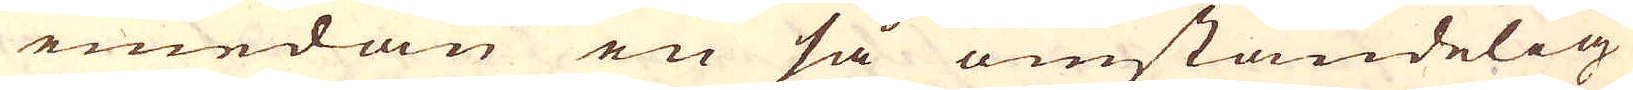emedan en så omständelig
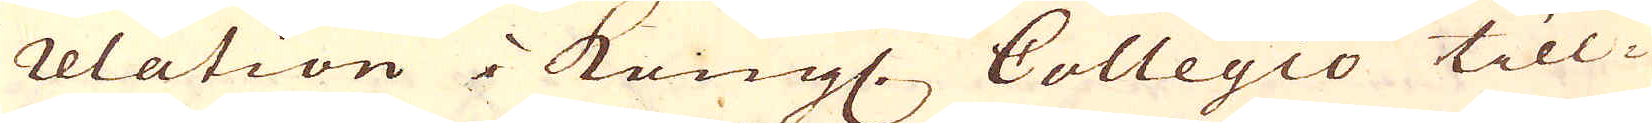relation i Kongl. Collegio till-
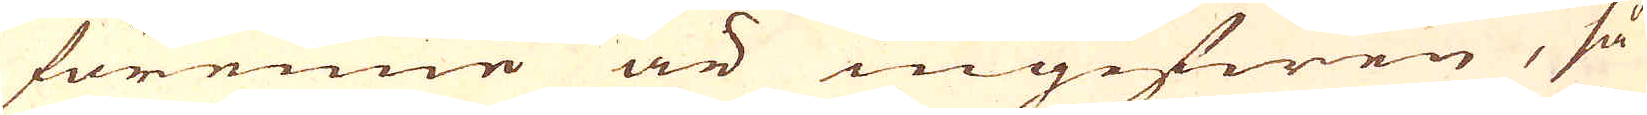förenne är ingifwen, så
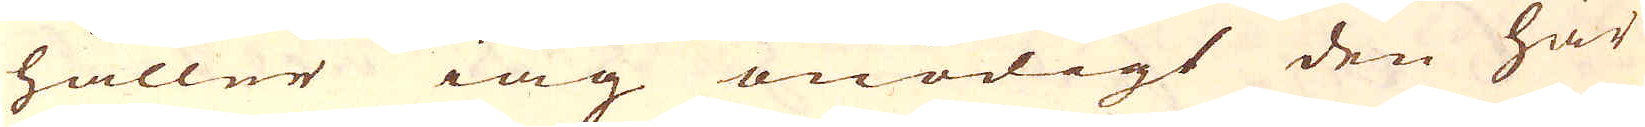håller iag onödigt den här
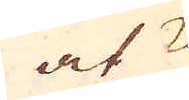at
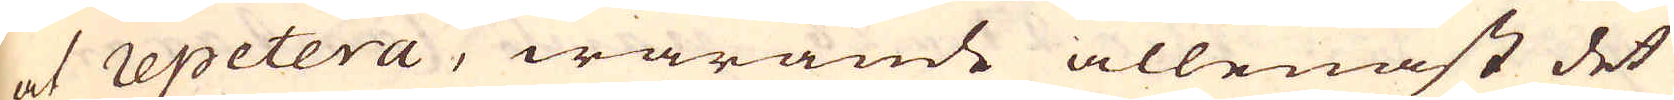at repetera, warande allenast det
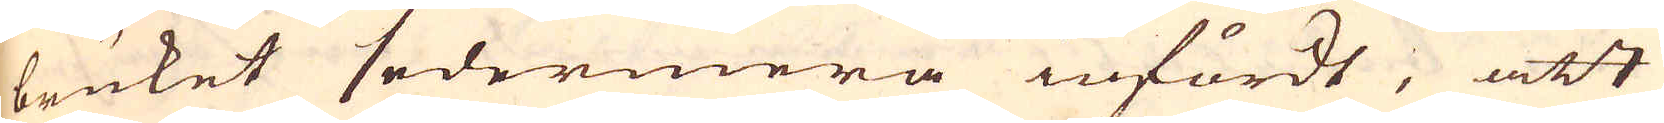bruket sedermera infördt, att
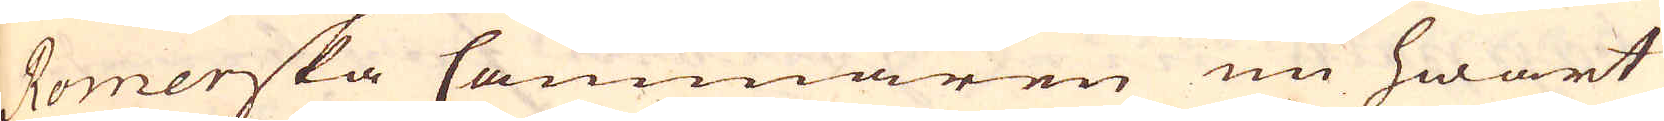Romerska Cammaren nu hwart
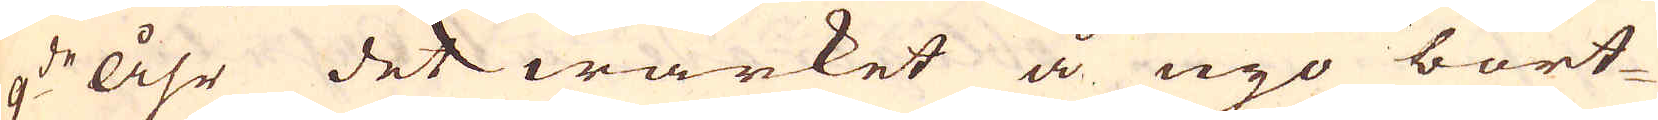9:de åhr det wärket å nyo bort-
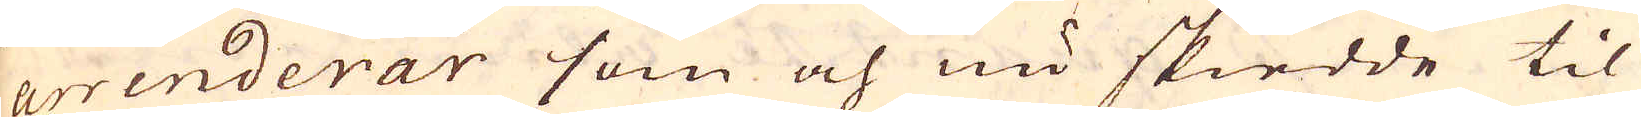arrenderar som och nu skiedde til
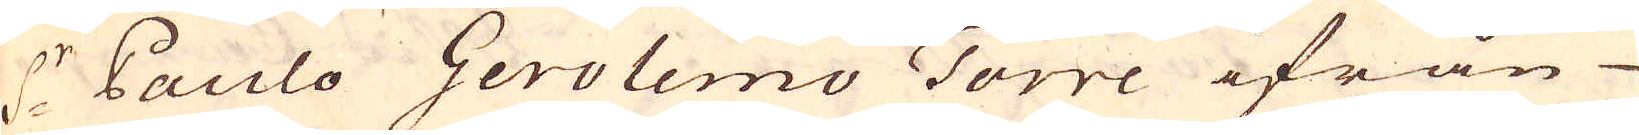S:r Paulo Gerolemo Torre ifrån
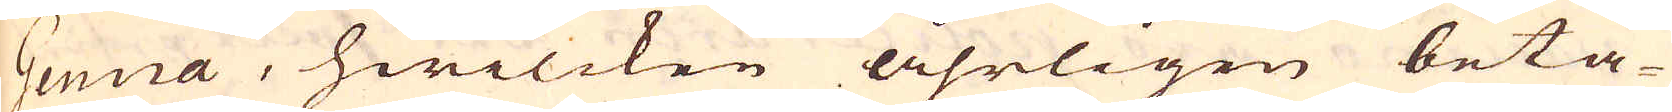Genna, hwilcken åhrligen beta-
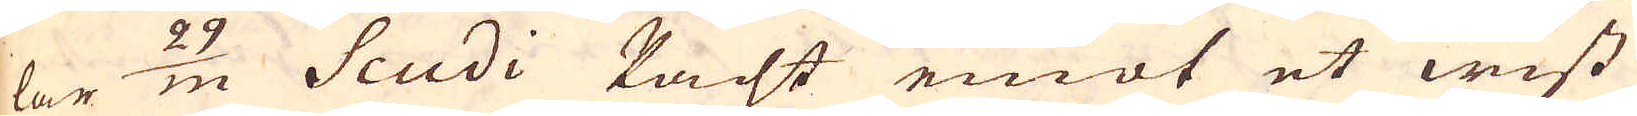lar 29/m Scudi Pacht emot et wist
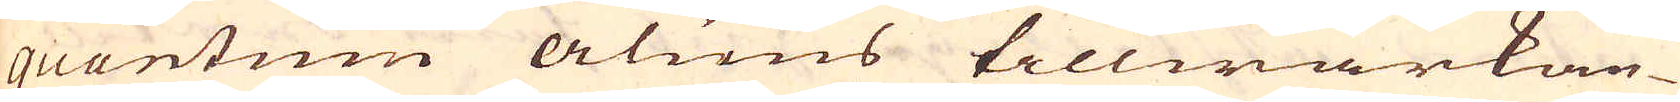quantum aluns tillwärkan-
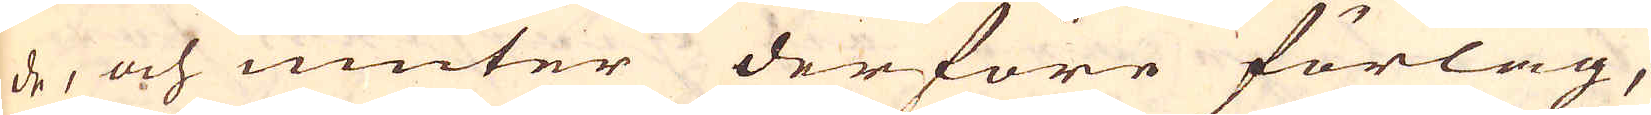de, och niuter derföre förlag,
